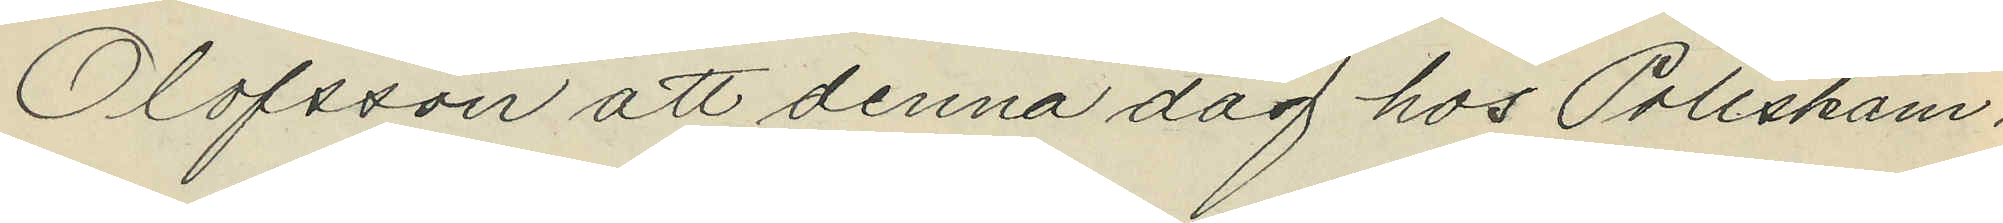Olofsson att denna dag hos Poliskam¬
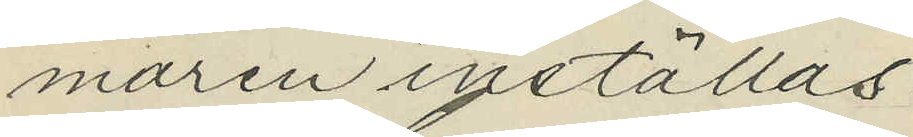maren inställas.
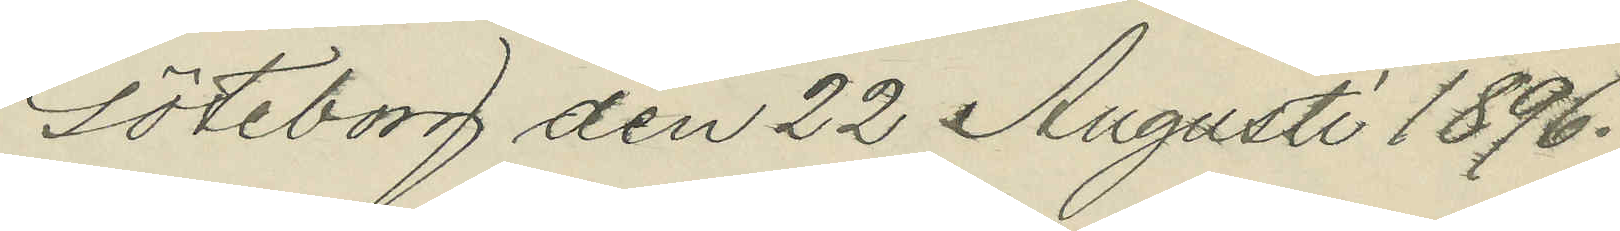Göteborg den 22 Augusti 1896.
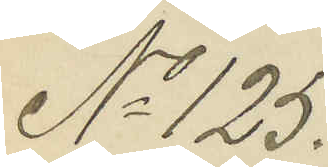No 125.
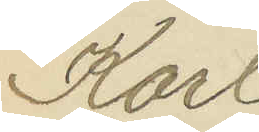Karl
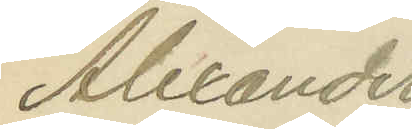Alexander
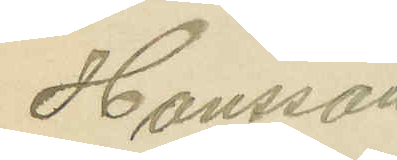Hansson
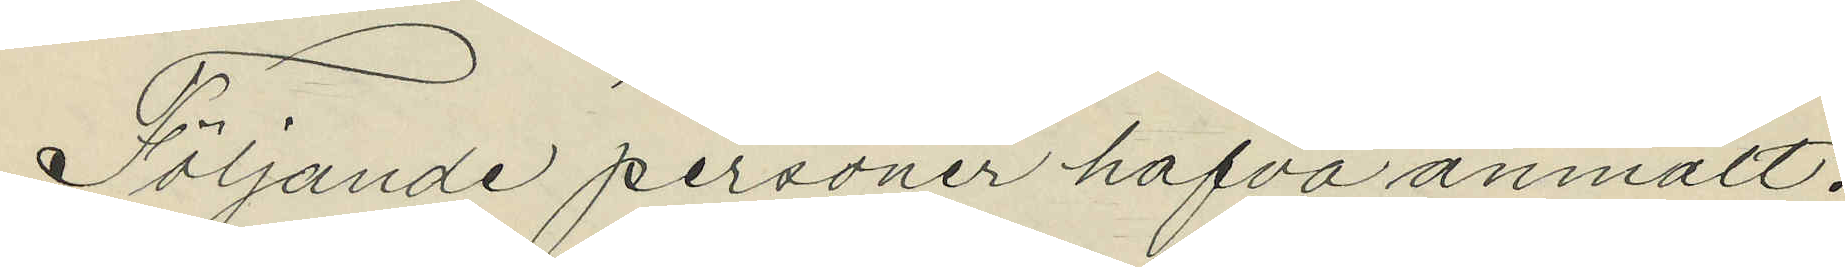Följande personer hafva anmält:
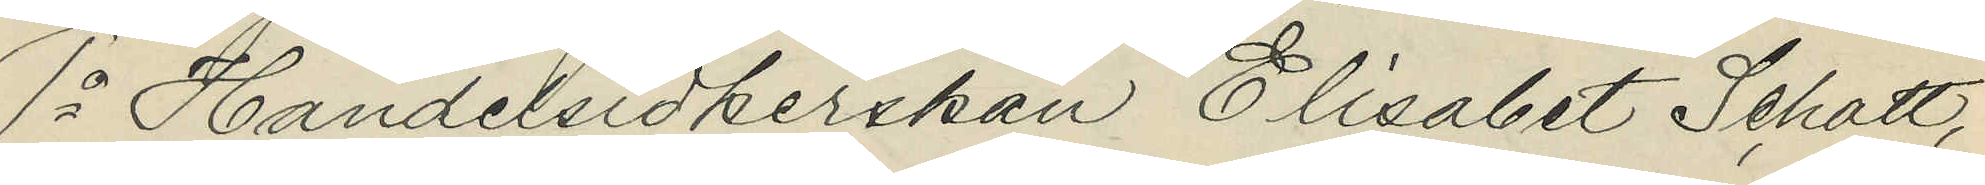1o Handelsidkerskan Elisabet Schott,
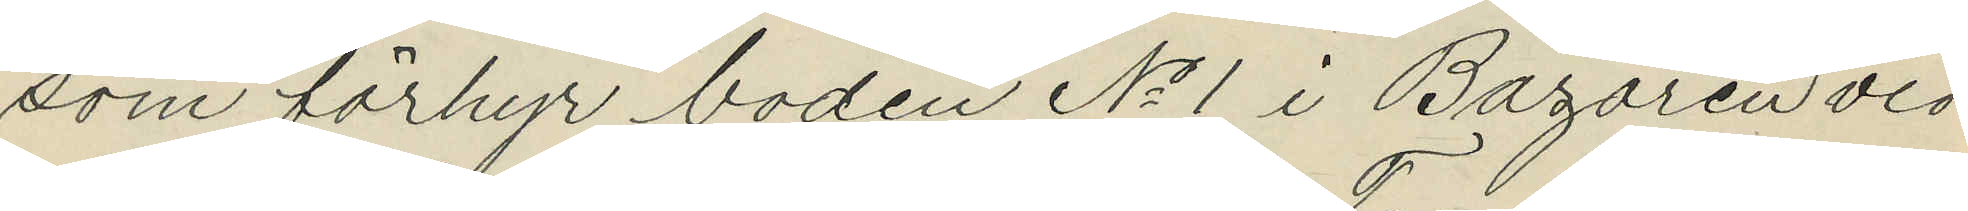som förhyr boden No 1 i Bazaren vid
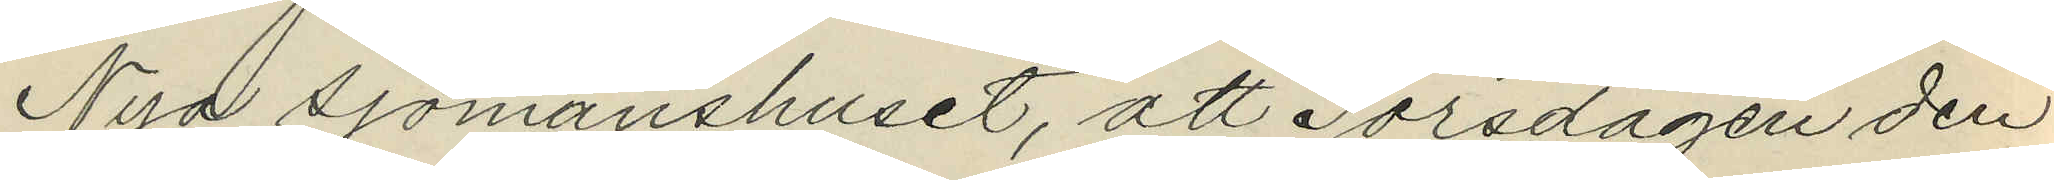Nya sjömanshuset, att Torsdagen den
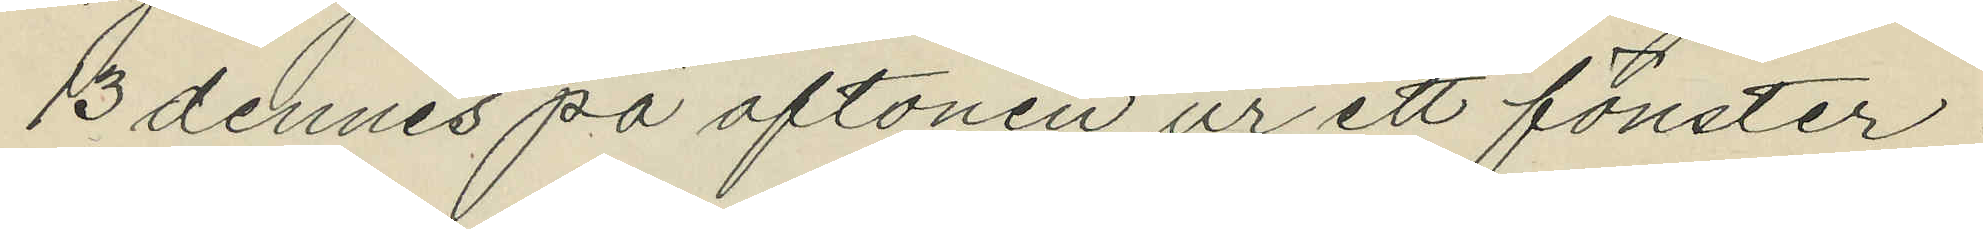13 dennes på aftonen ur ett fönster i
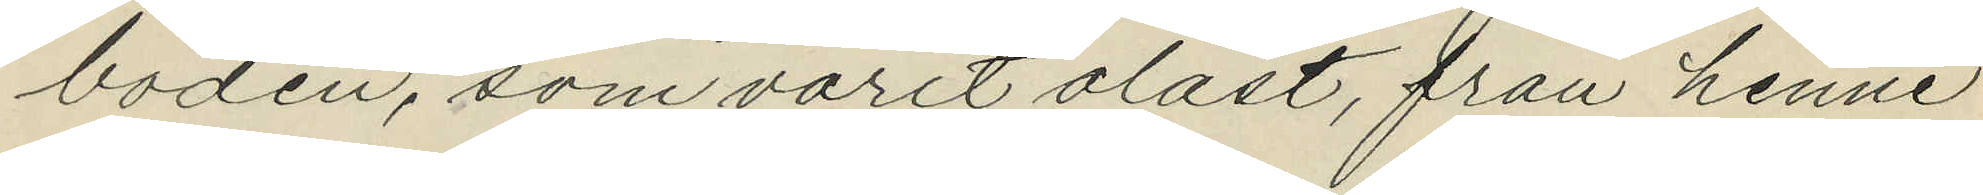boden, som varit olåst, från henne
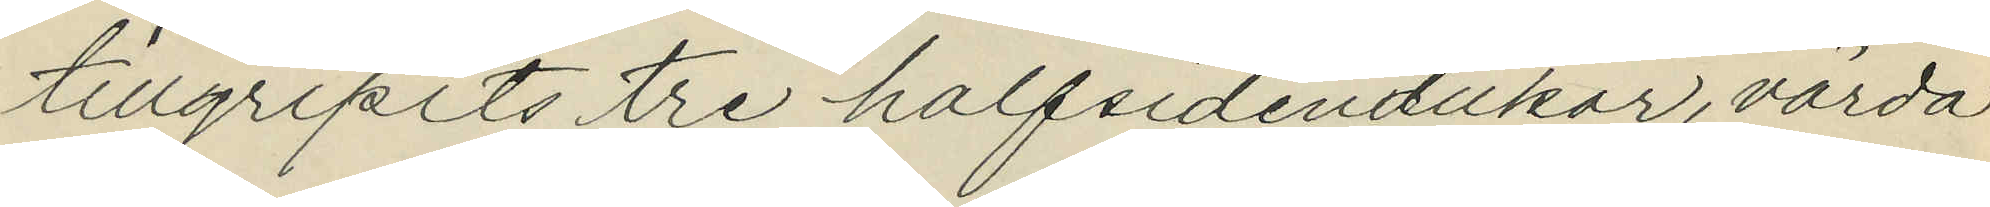tillgripits tre halfsidendukar, värda
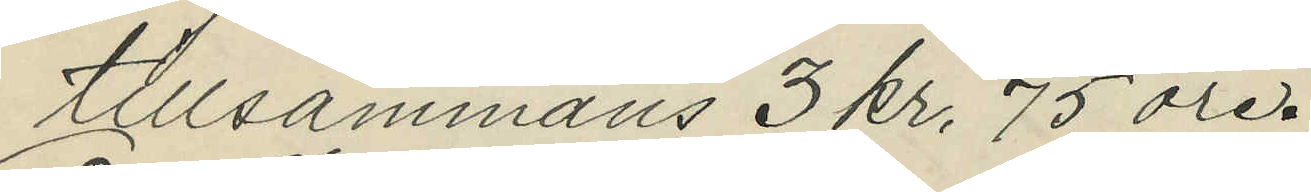tillsammans 3 kr. 75 öre.
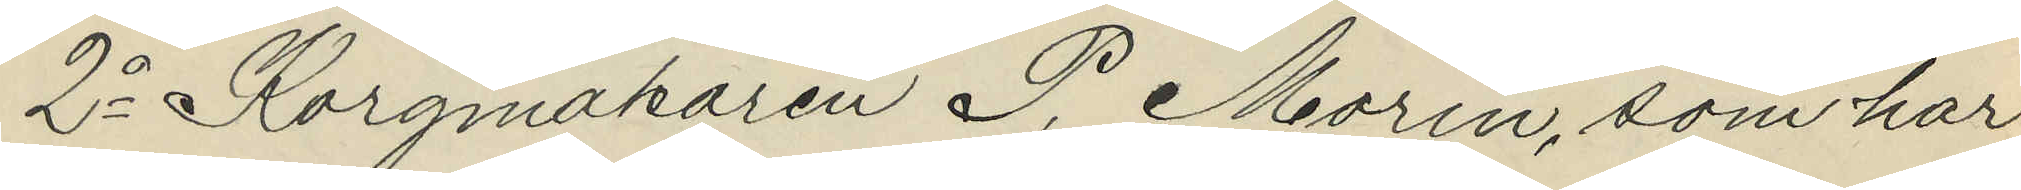2o Korgmakaren P. Morin, som har
